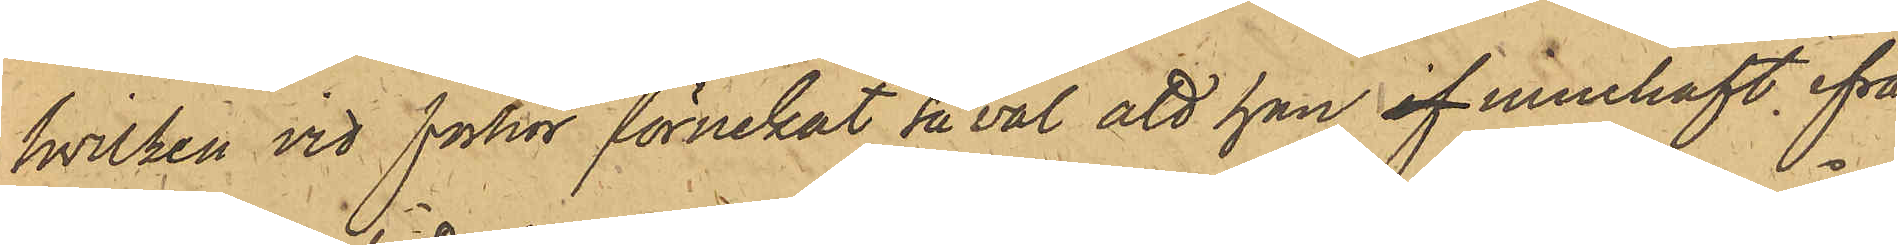hvilken vid förhör förnekat så väl att han af innehaft ifrå¬
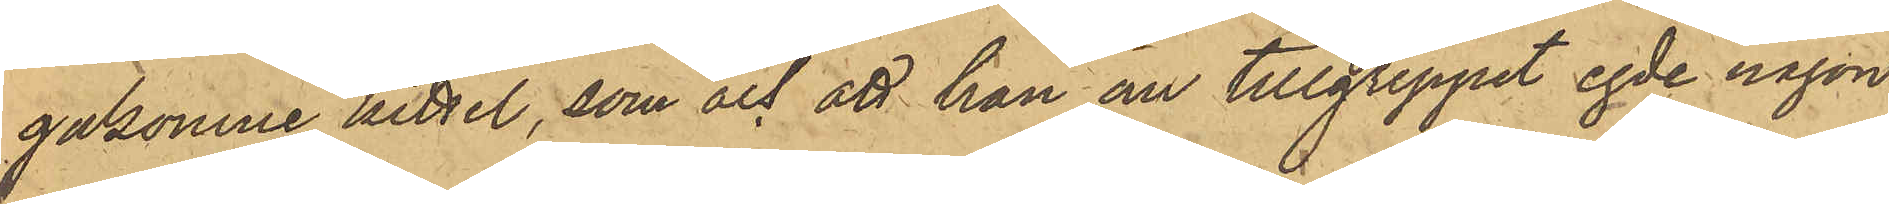gakomne kittel, som och att han om tillgreppet egde någon
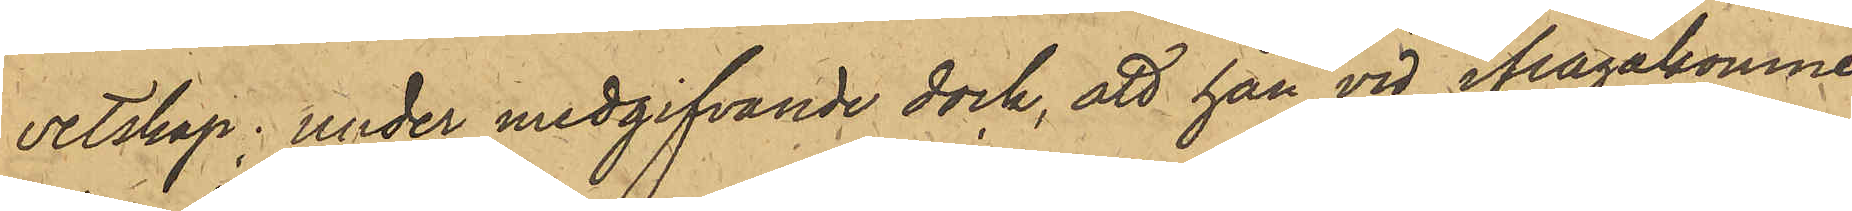vetskap, under medgifvande dock, att han vid ifrågakomne
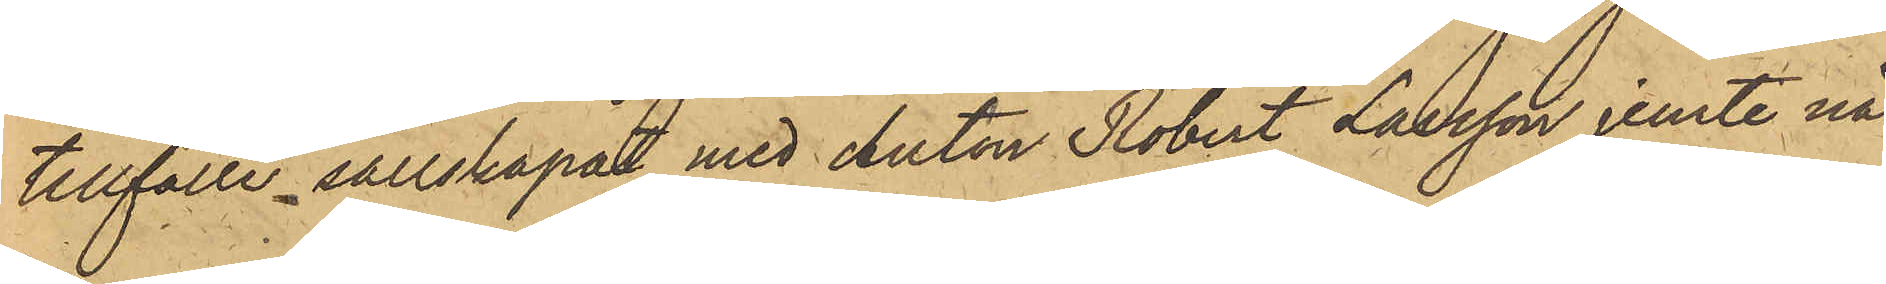tillfälle sällskapat med Anton Robert Larsson jemte nå¬
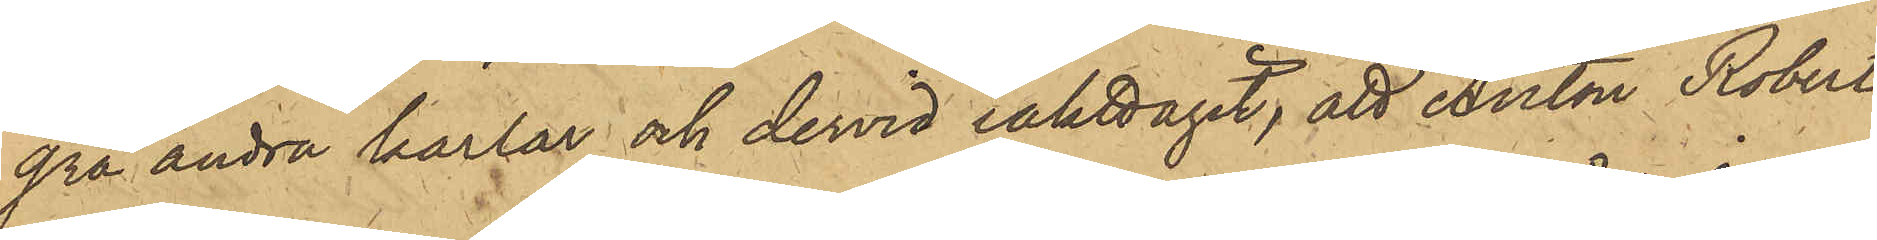gra andra karlar och dervid iakttagit, att Anton Robert
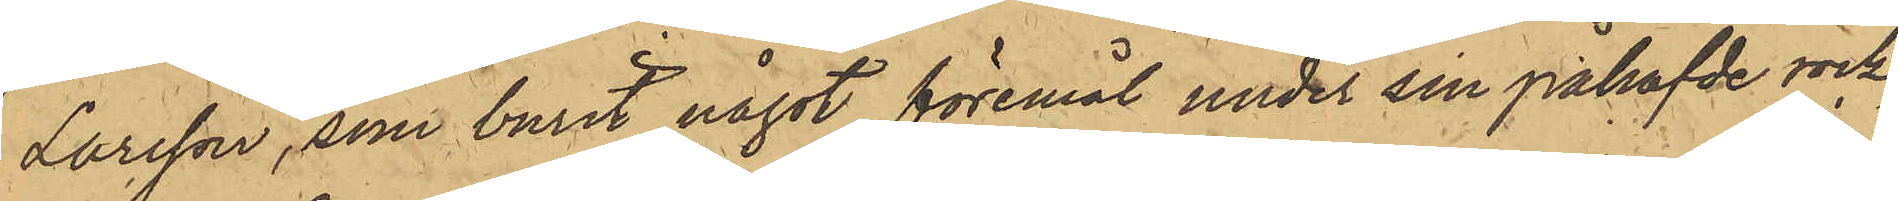Larsson, som burit något föremål under sin påhafvde rock,
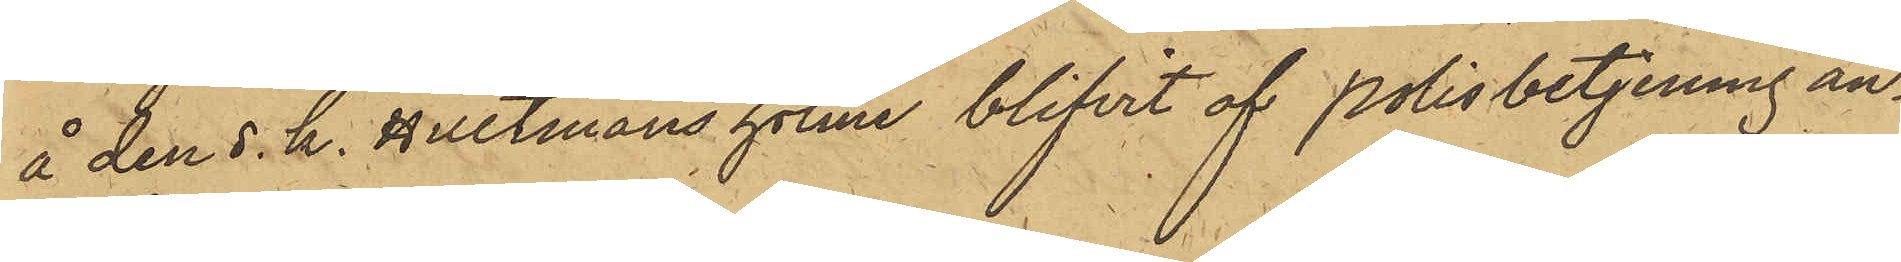å den s. k. Hultmans holme blifvit af Polisbetjening an¬
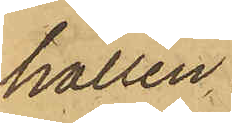hållen.
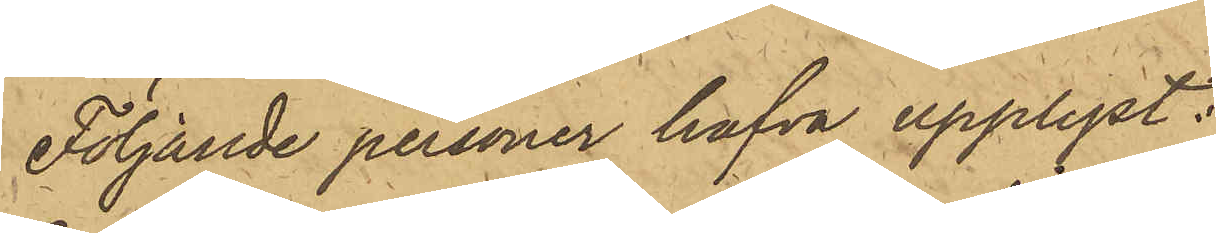Följande personer hafva upplyst:
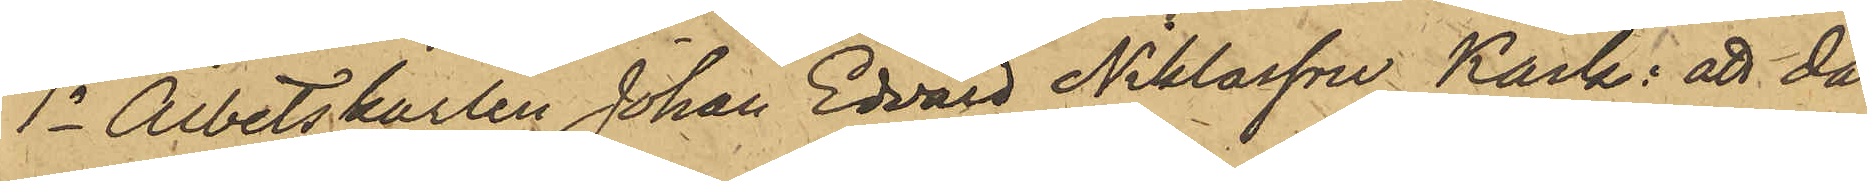1o Arbetskarlen Johan Edvard Niklasson Käck: att då
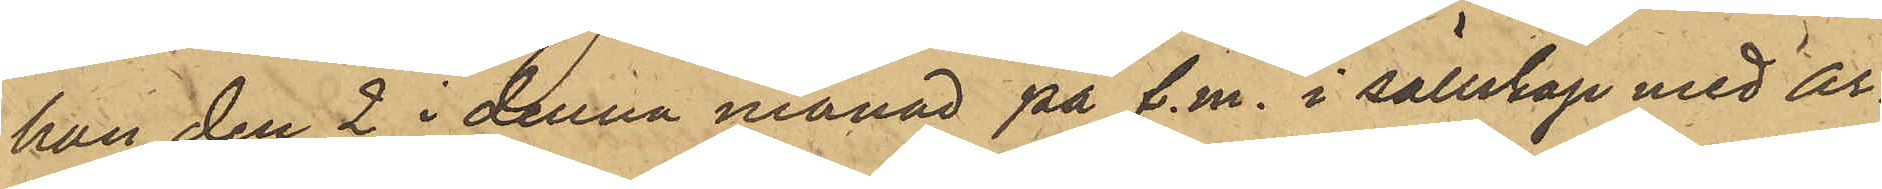han den 2 i denna månad på f.m. i sällskap med ar¬
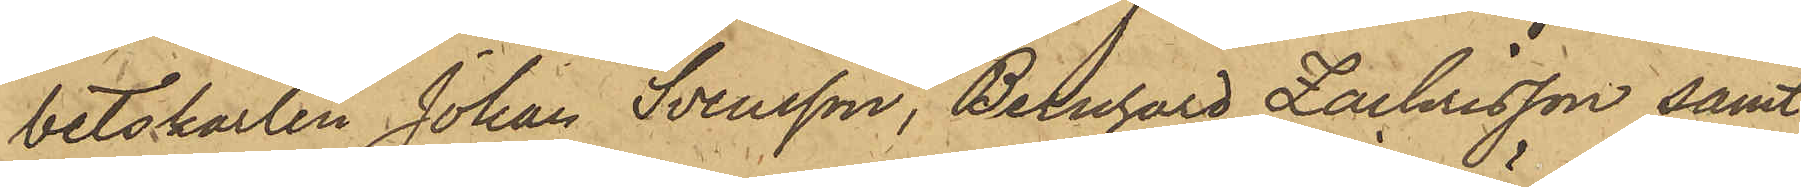betskarlen Johan Svensson, Bernhard Zachrisson samt
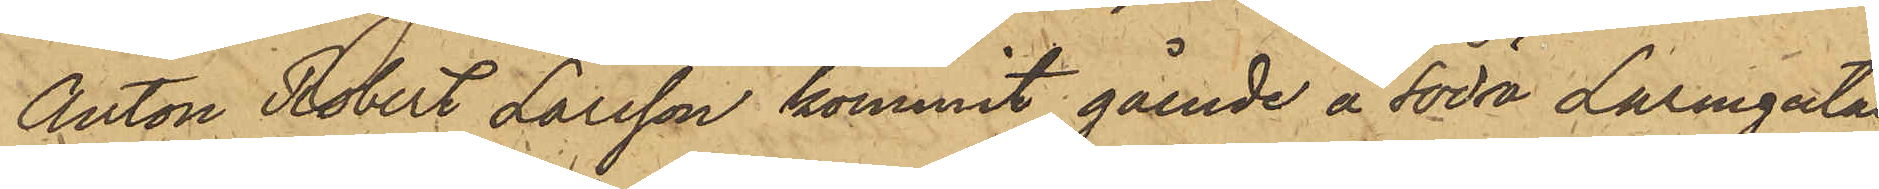Anton Robert Larsson kommit gående å Södra Larmgatan
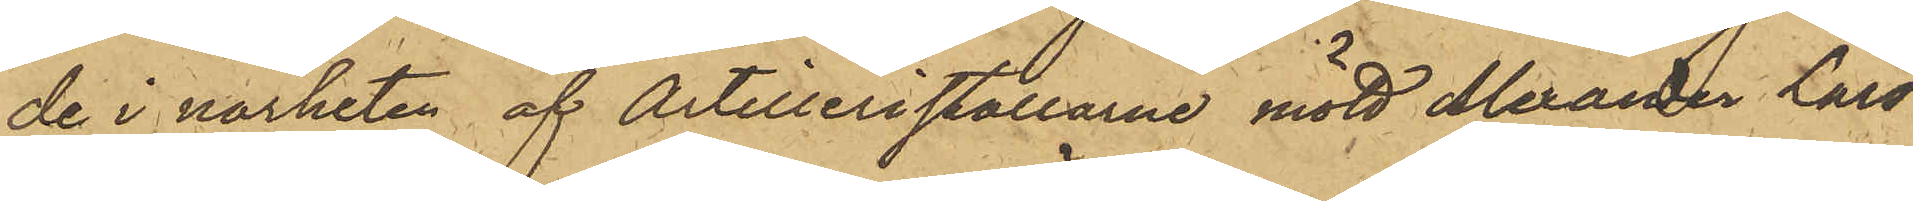de i närheten af Artilleristallarne mött Alexarder Lars¬
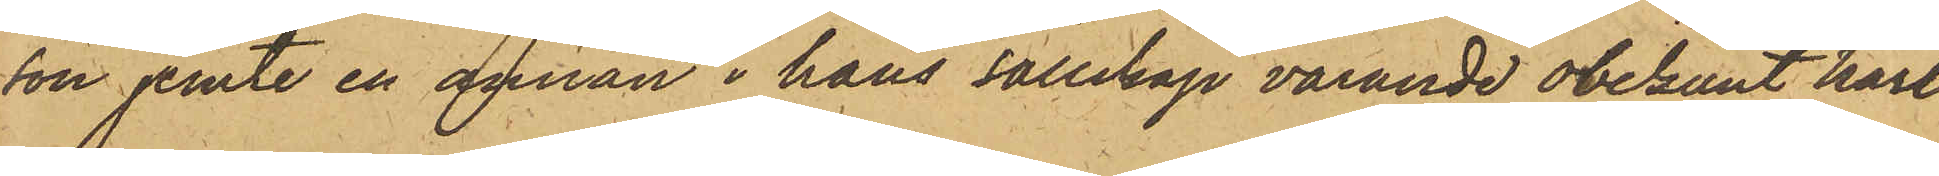on jemte en annan i hans sällskap varande obekant karl
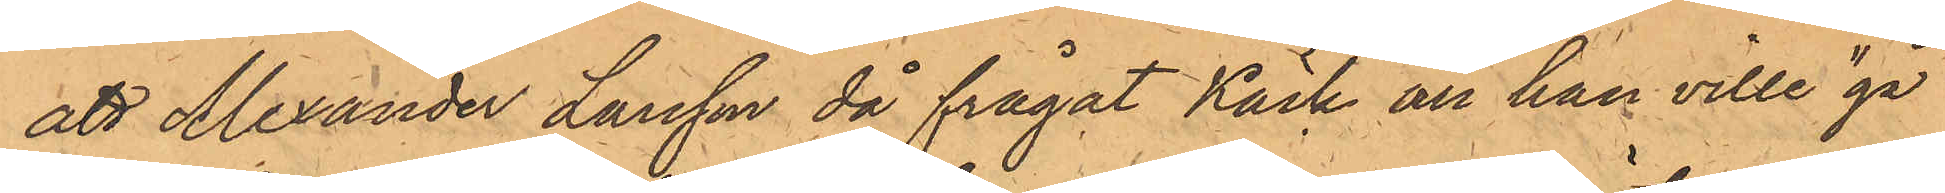att Alexander Larsson då frågat Käck om han ville "gå
